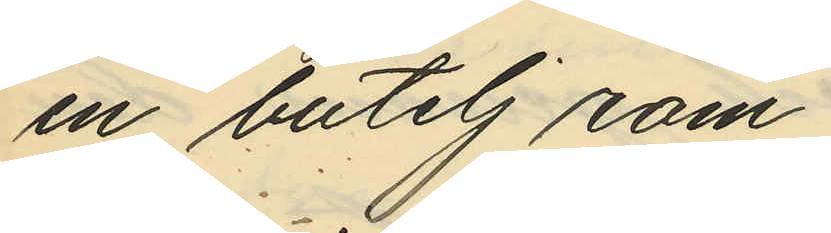en butelj rom
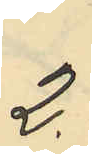2.
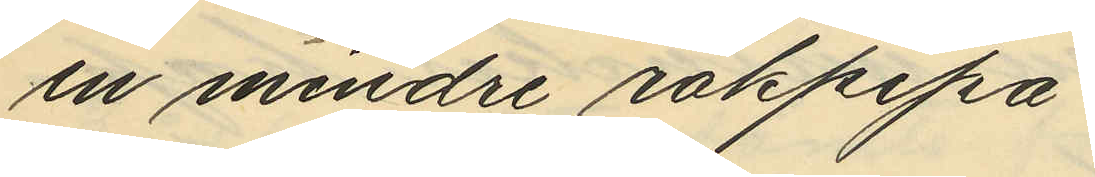en mindre rökpipa
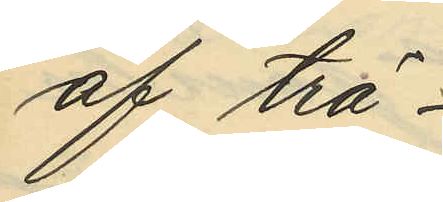af trä
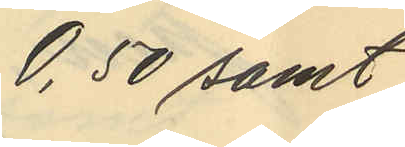0,50 samt
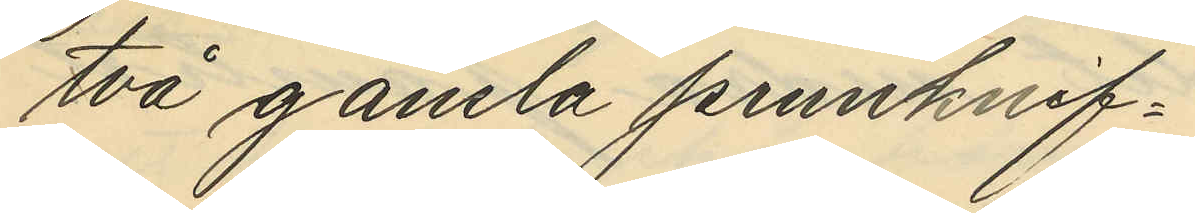två gamla pennknif¬
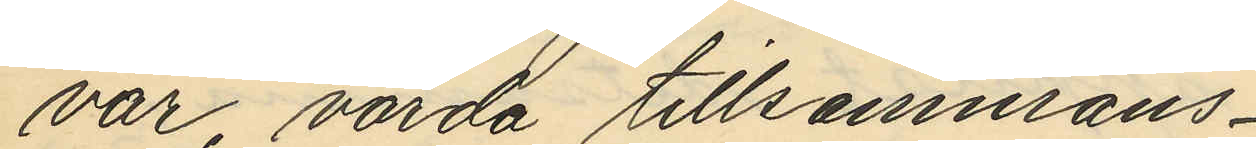var värda tillsammans
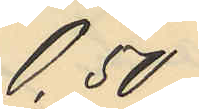0,50
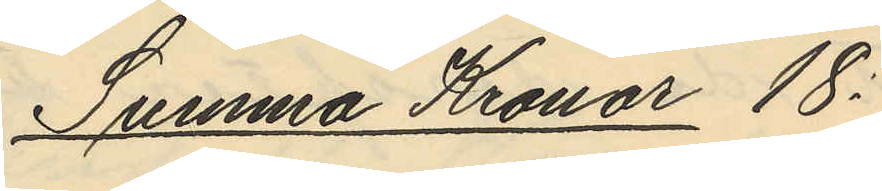Summa Kronor 18:
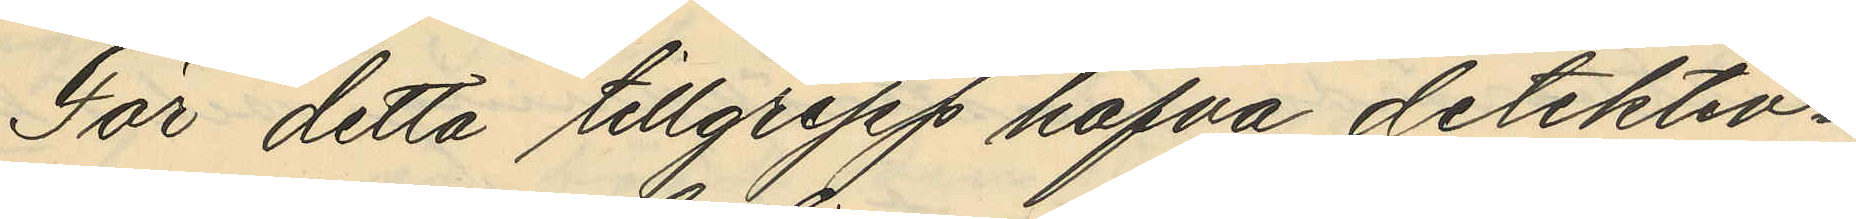För detta tillgrepp hafva detektiv¬
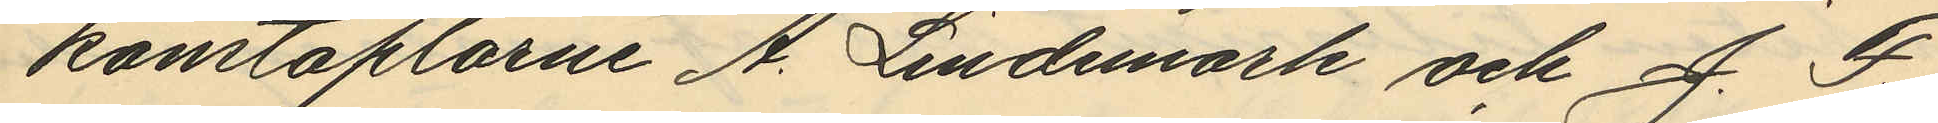konstaplarne A. Lindmark och J. F.
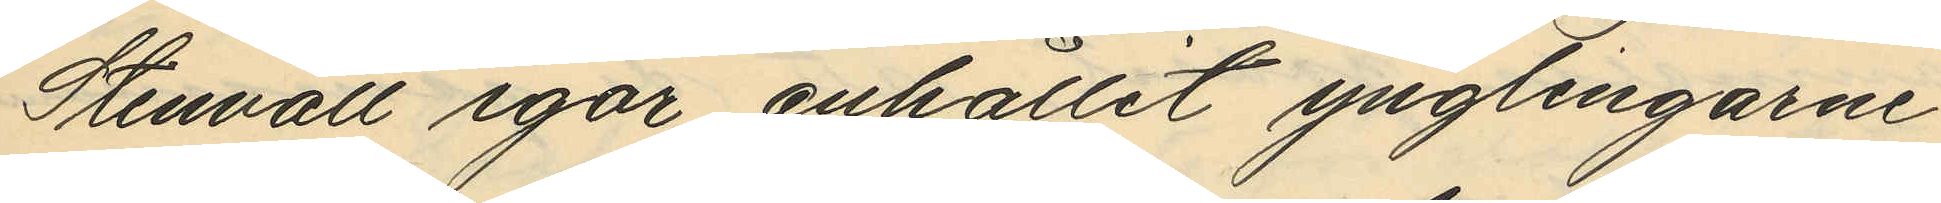Stennvall igår anhållit ynglingarne
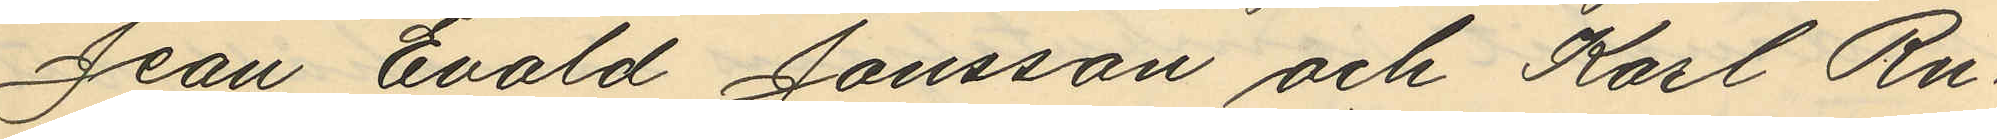Jean Evald Jönsson och Karl Ru¬
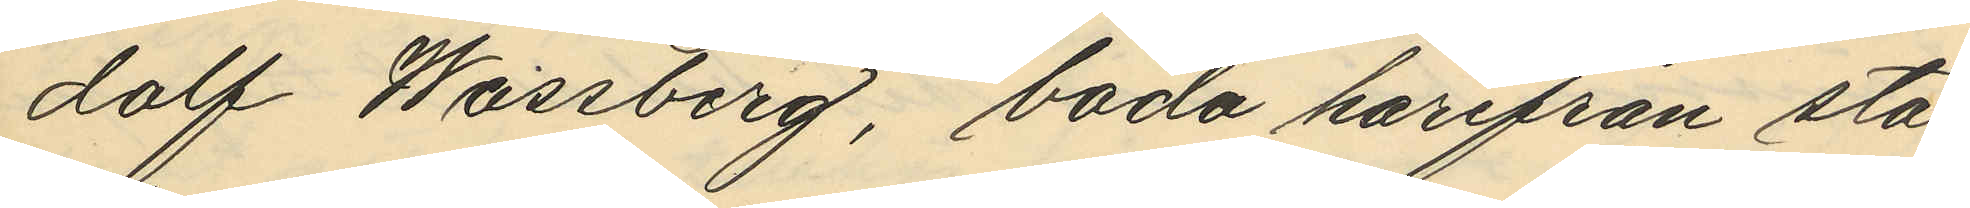dolf Wassberg, båda härifrån sta¬
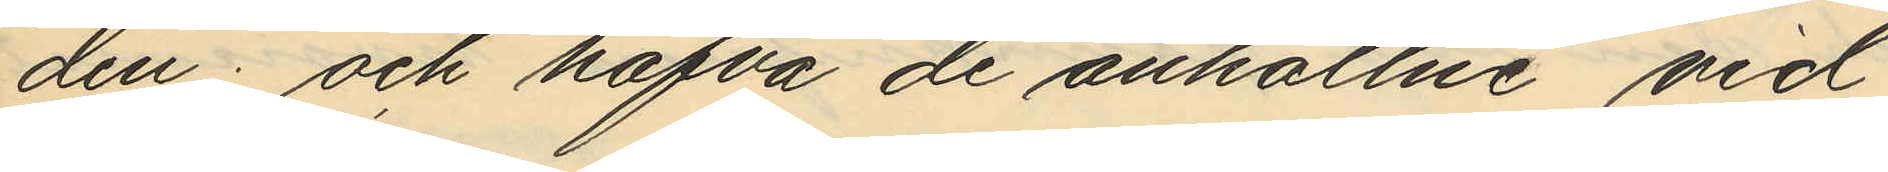den; och hafva de anhållne vid
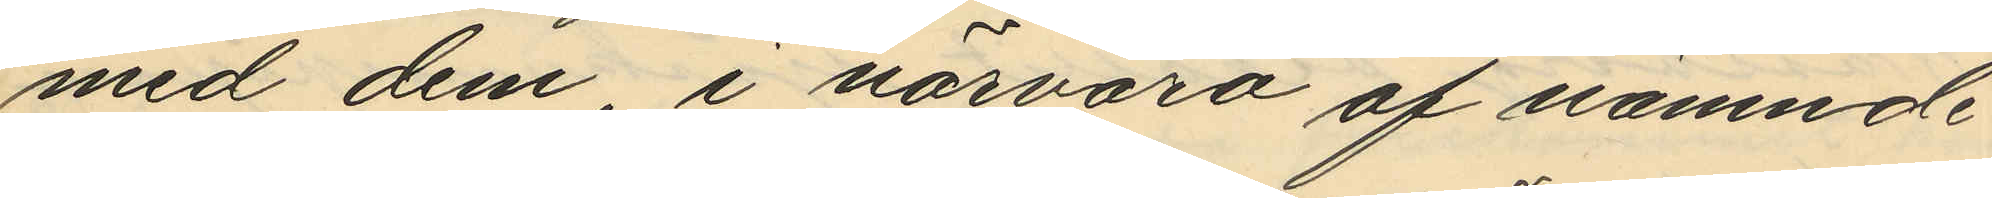med dem i närvaro af nämnde
